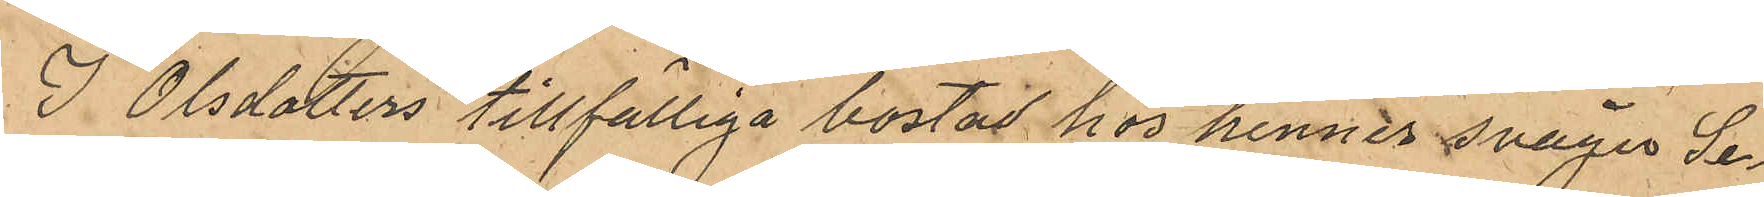I Olsdotters tillfälliga bostad hos hennes svåger Se¬
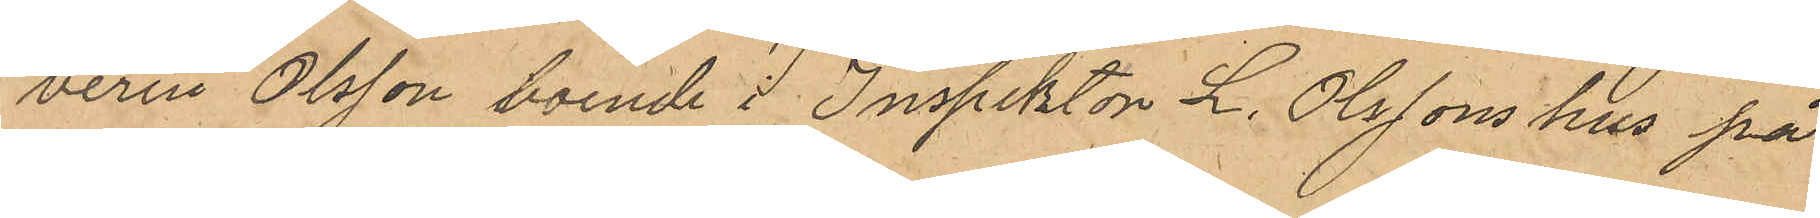verin Olsson boende i Inspektor L. Olssons hus på
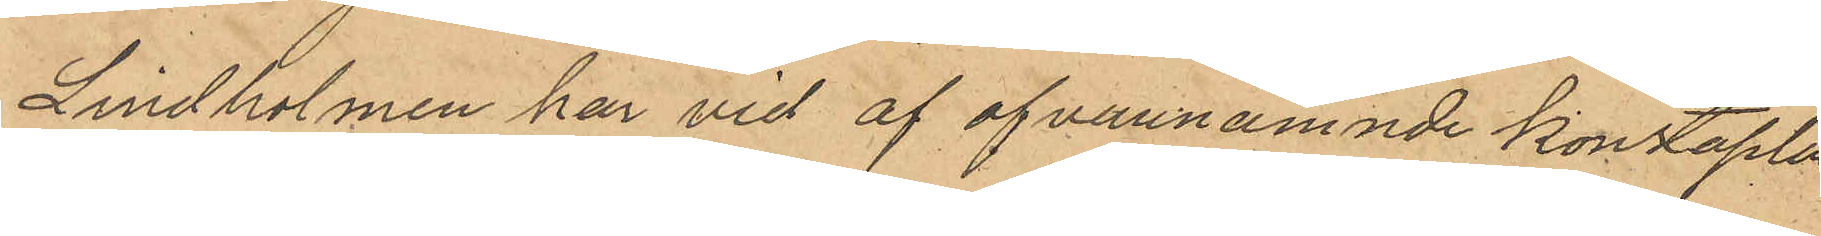Lindholmen har vid af ofvannamnde konstaplar 
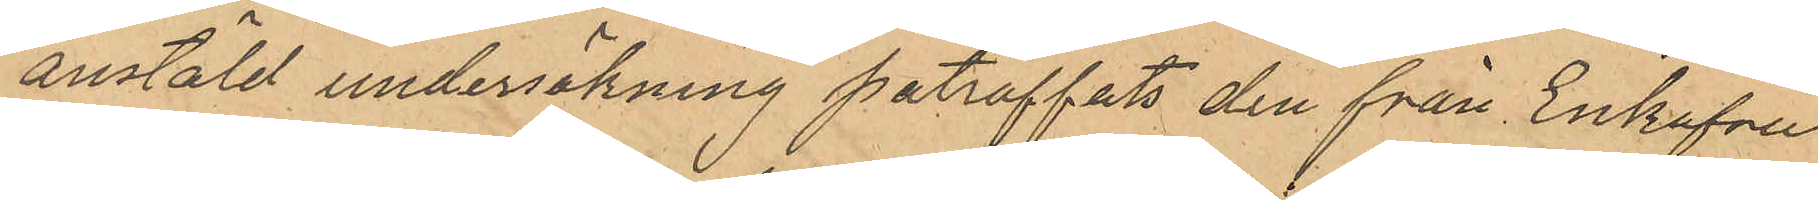anstäld undersökning paträffats den från Enkefru
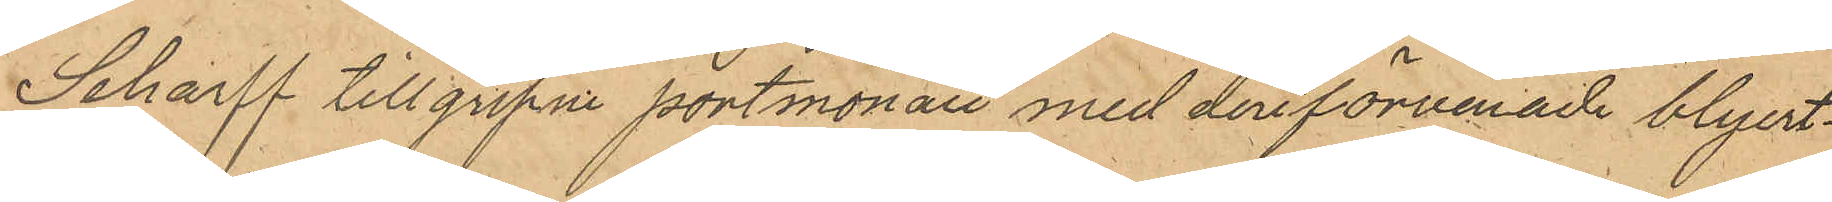Scharff tillgrepne portmonaie med deri förvarade blyert¬
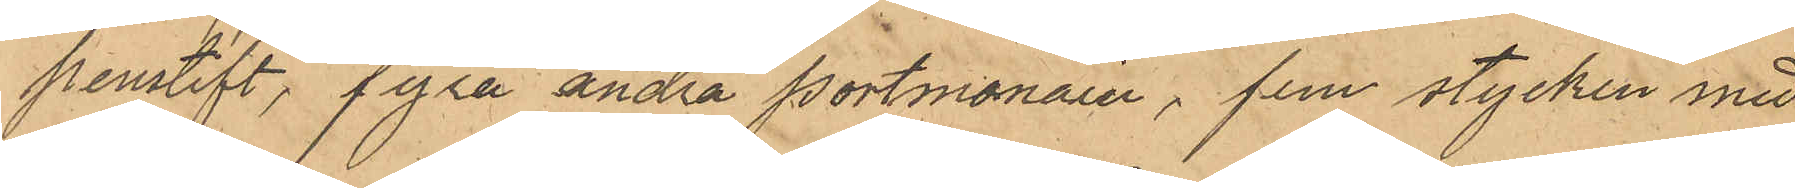penstift, fyra andra portmonaier, fem stycken med
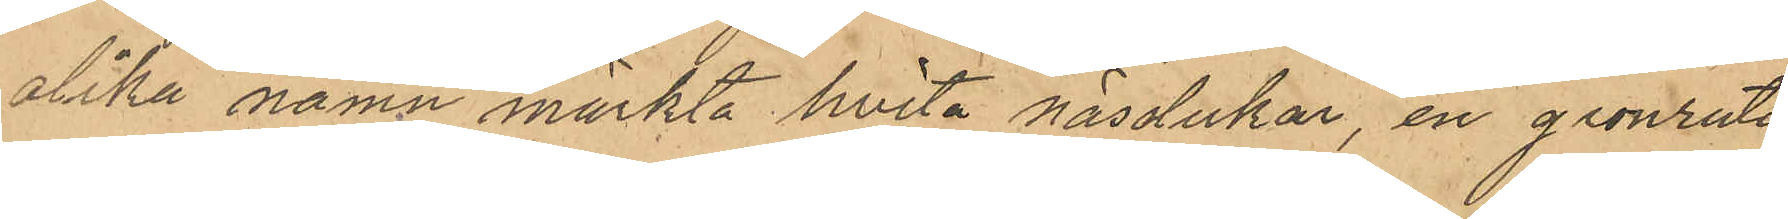olika namn märkta hvita näsdukar, en grönrutig
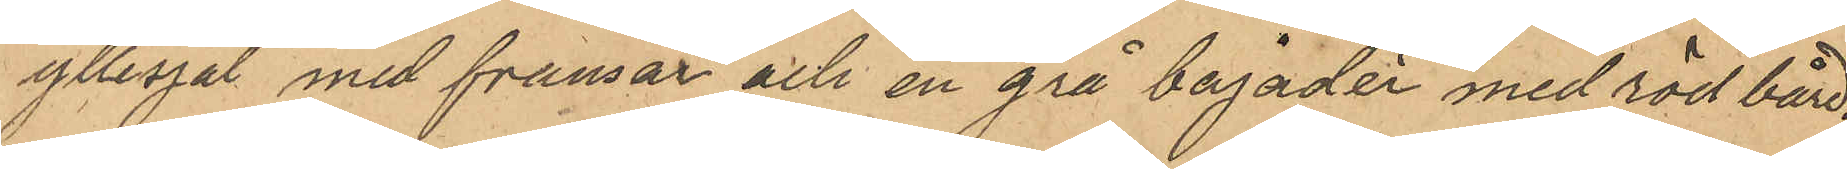yllesjal med fransar och en grå bajadèr med röd bård.
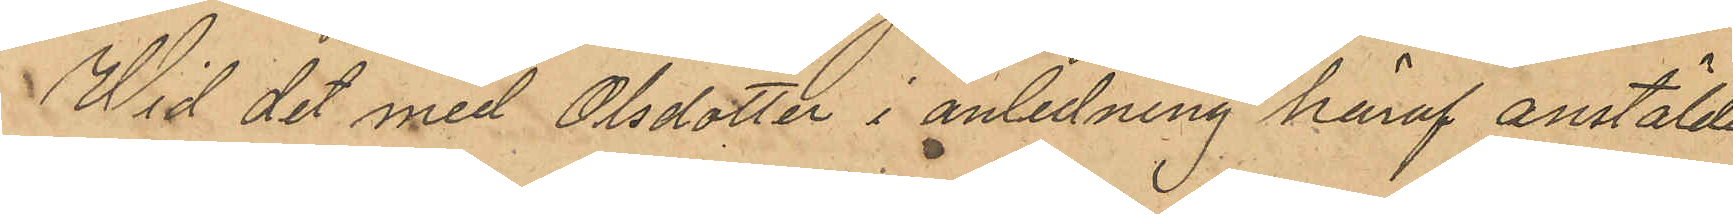Wid det med Olsdotter i anledning häraf anstälda
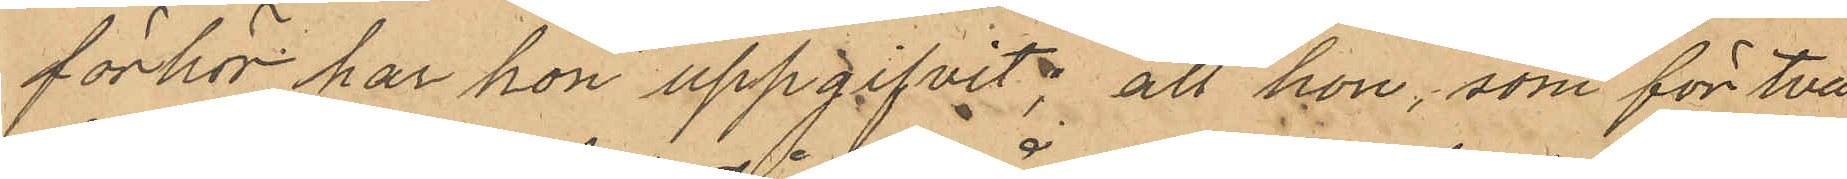förhör har hon uppgifvit, att hon, som för två
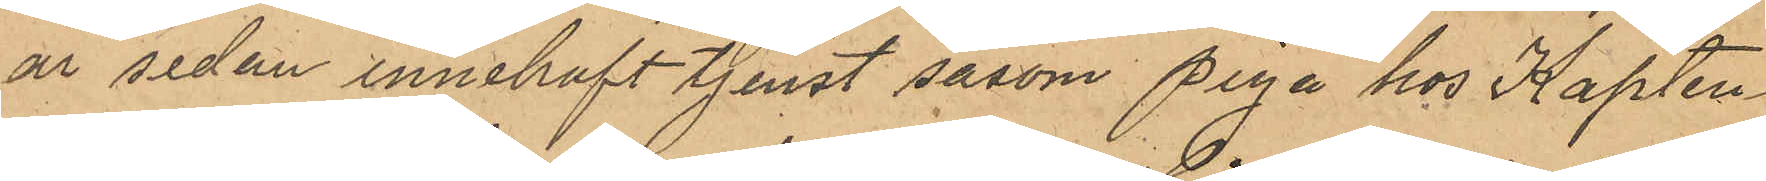år sedan innehaft tjenst såsom piga hos Kapten
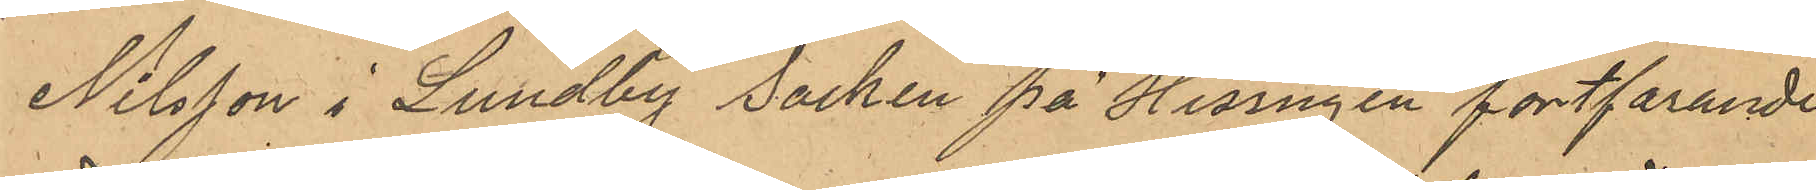Nilsson i Lundby socken på Hisingen fortfarande 
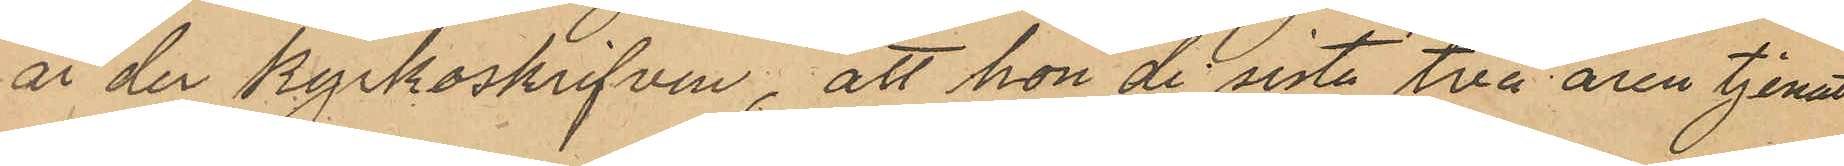är der kyrkoskrifven, att hon de sista två åren tjenat
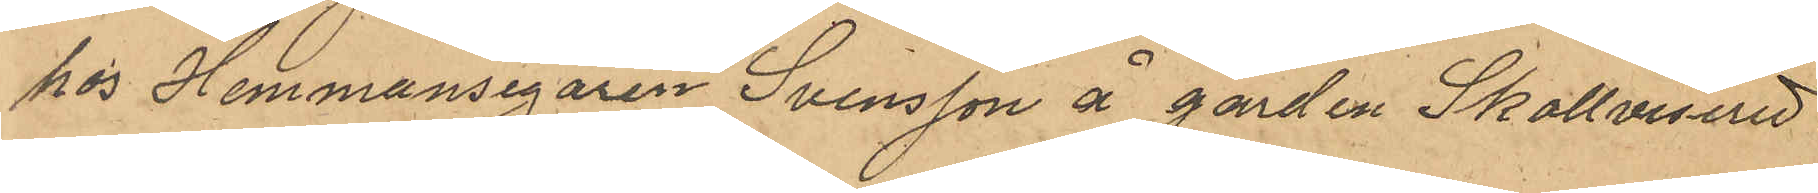hos Hemmansegaren Svensson å garden Skollvisered i
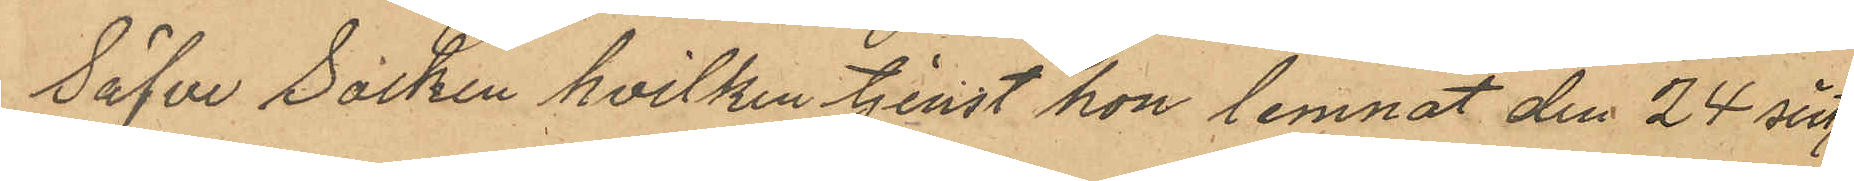Säfve Socken hvilken tjenst hon lemnat den 24 sistl.
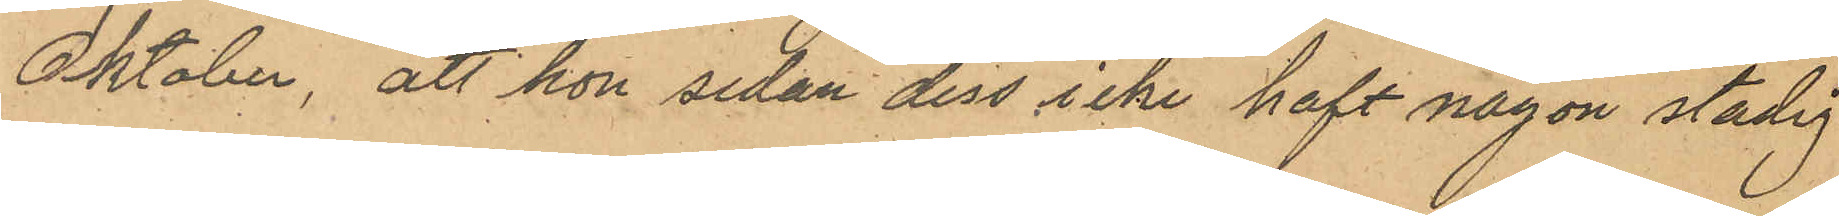Oktober, att hon sedan dess icke haft någon stadig
